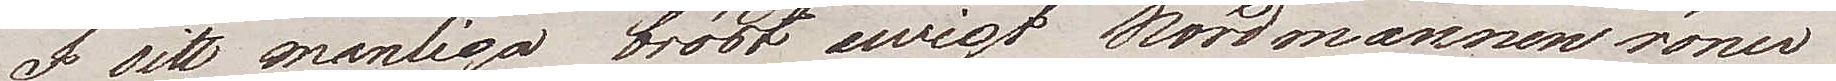I sitt manliga bröst ewigt Nordmannen röner
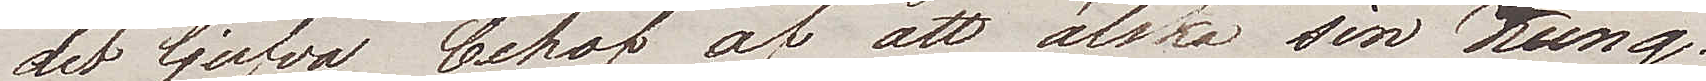det ljufva behov af att älska sin Kung.
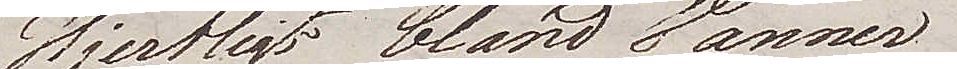Hjertligt bland Vänner
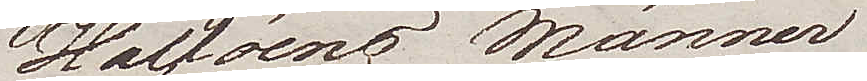Halföens Männer
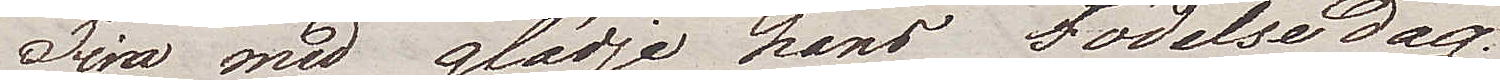Fira med glädje hans Födelsedag.
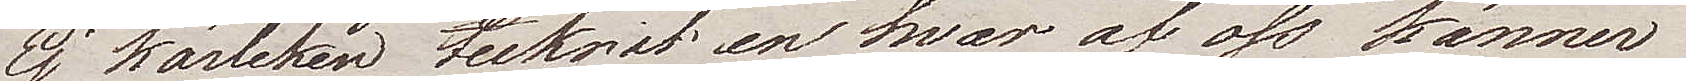Ej kärleken tecknat en hvar af oss känner
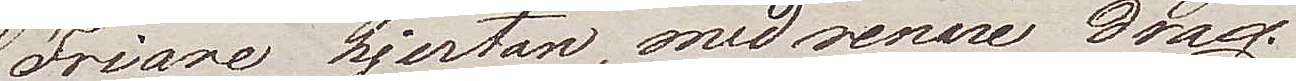Friare hjertan, med renare drag.
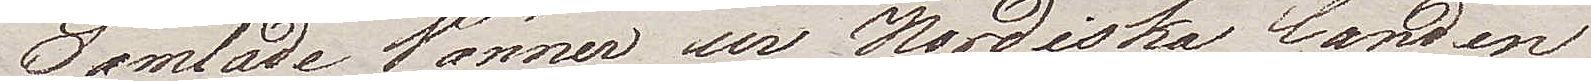Samlade Vänner ur Nordiska Landen
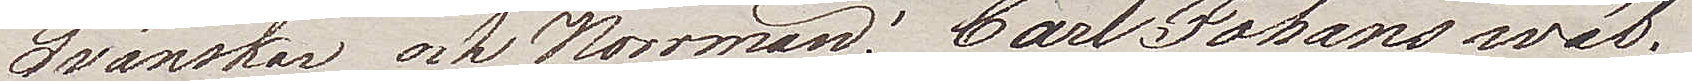Svänskar och Norrmän: Carl Johans wäl.
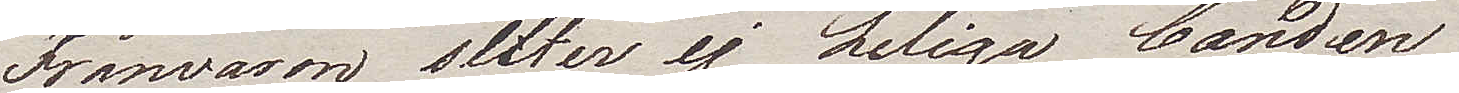Frånvaron sliter ej heliga banden
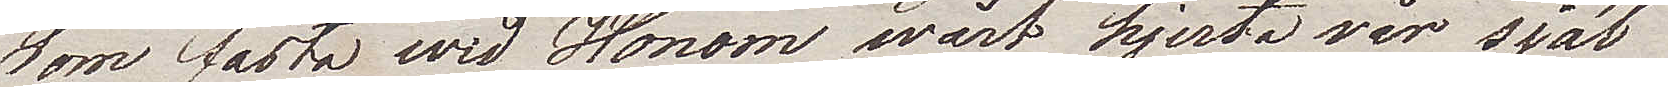som fästa wid Honom wårt hjerta vår själ
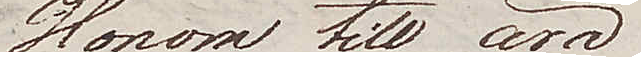Honom till ära
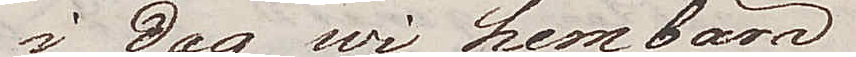i dag wi hembära
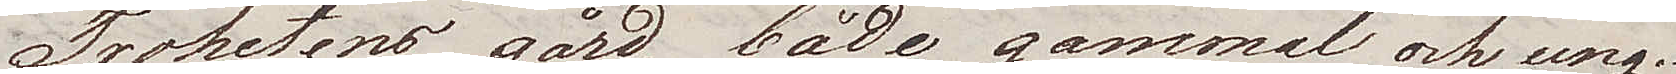Trohetens gård, både gammal och ung.
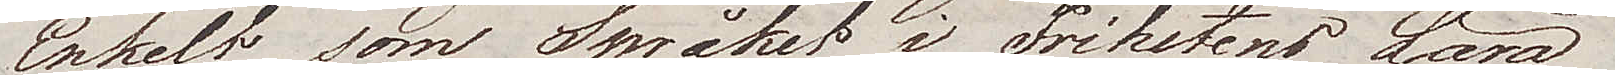Enkelt som Språket i Frihetens Land
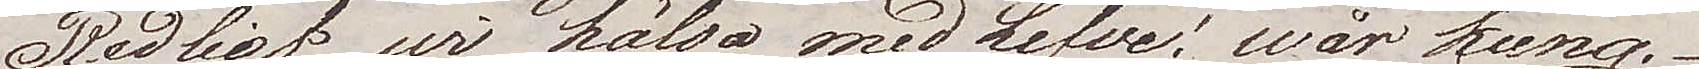Redligt wi hälsa med Lefve! wår Kung.
